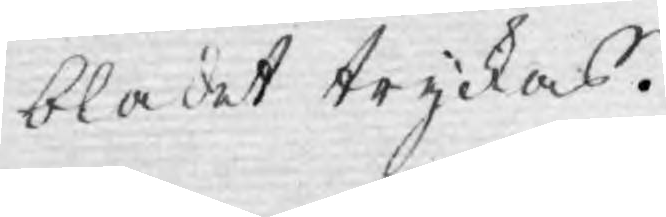bladet tryckas.
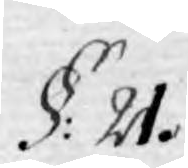§. 21.
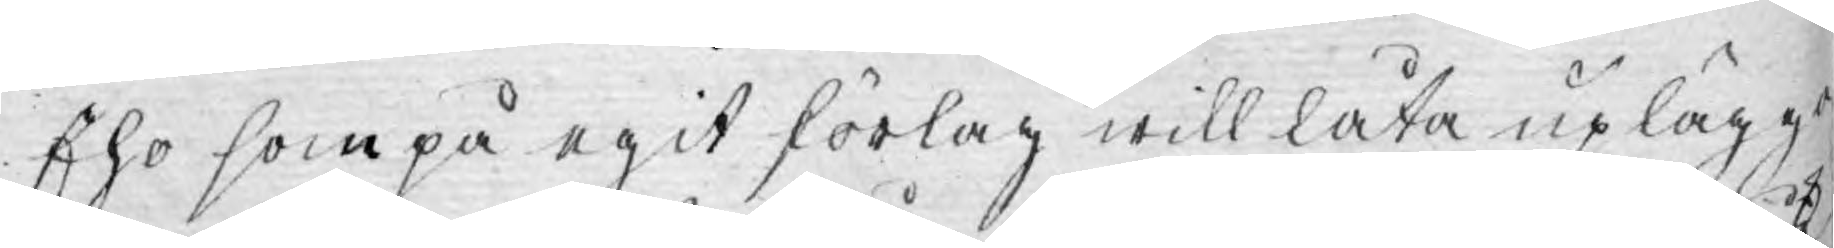Eho som på egit förlag will låta uplägga
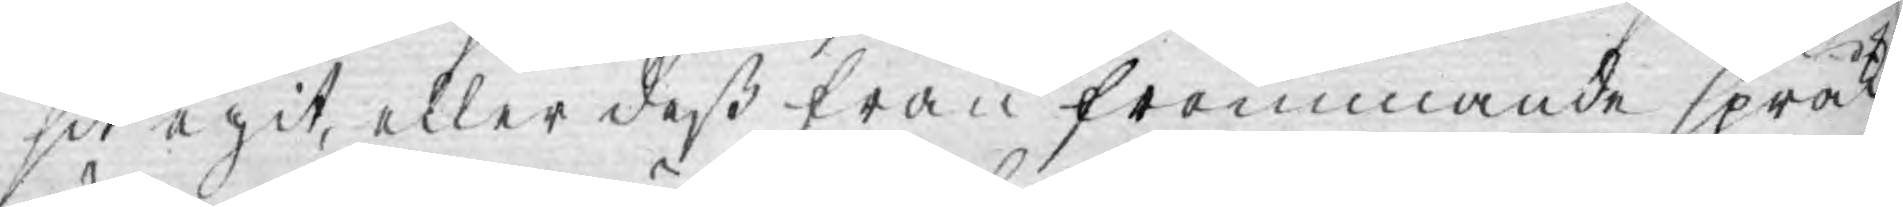sit egit, eller deß från fremmande språk
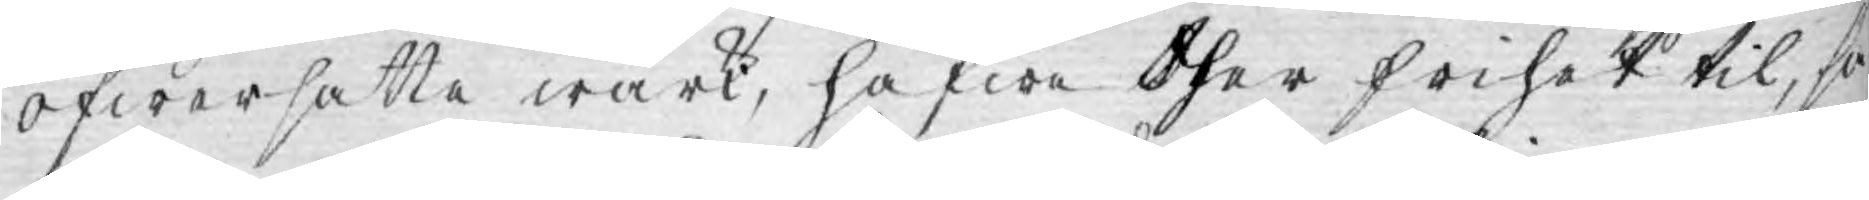öfwersatte wärk, hafwa ther frihet til, så
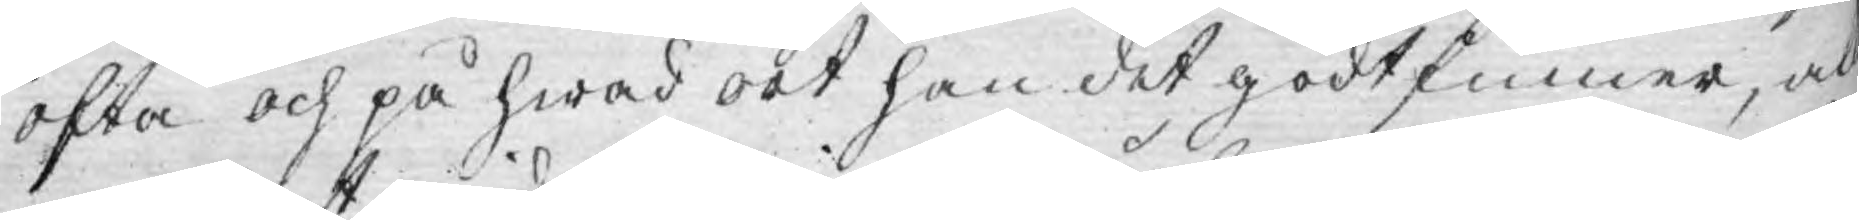ofta och på hwad ort han det godtfinner, al¬
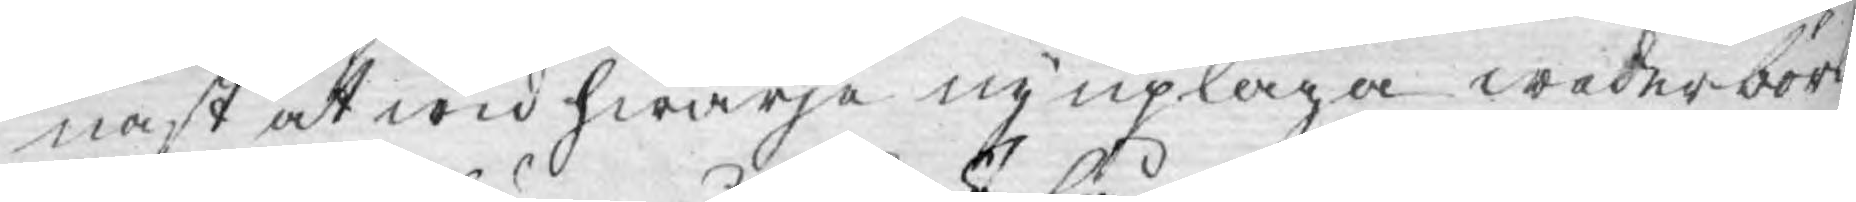nast at wid hwarje ny uplaga wederbörd
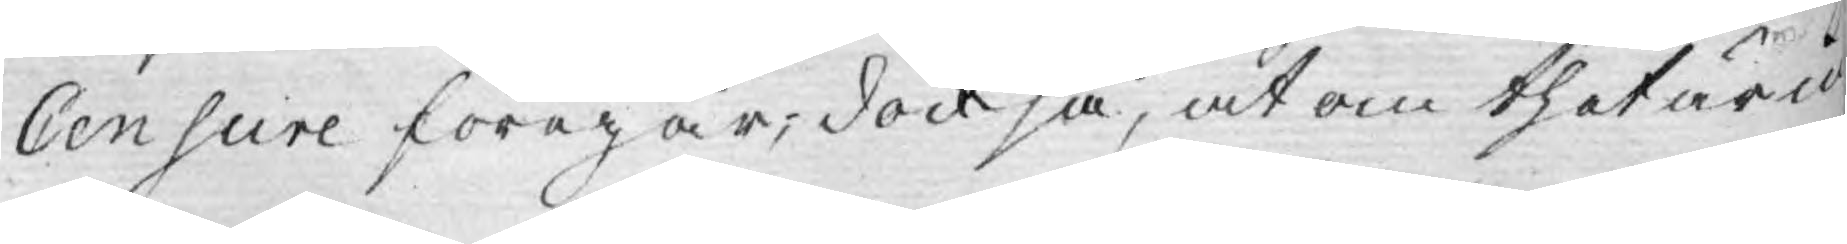Censure föregår; dock så, at om thet är id
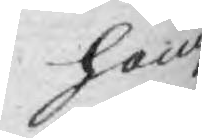hem
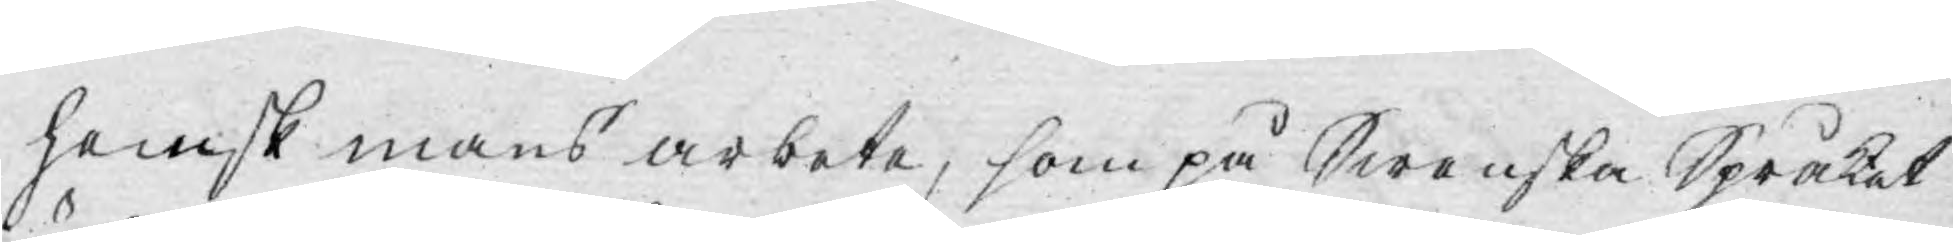hemsk mans arbete, som på Swenska Språket
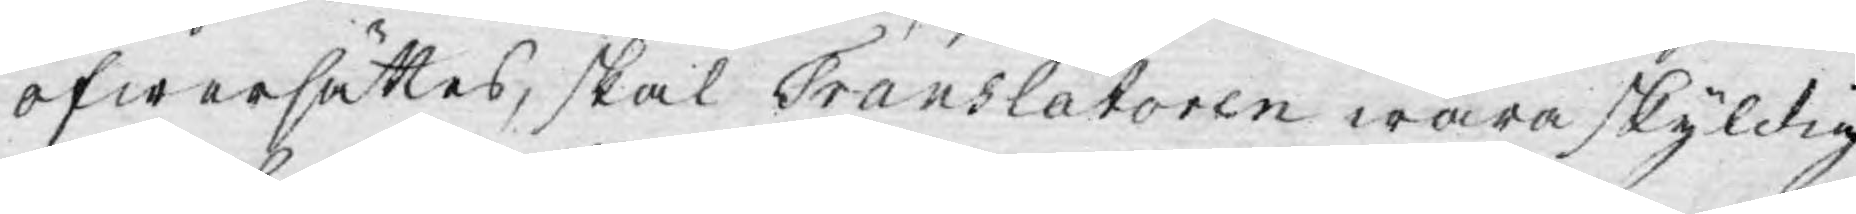öfwersättes, skal Translatoren wara skyldig
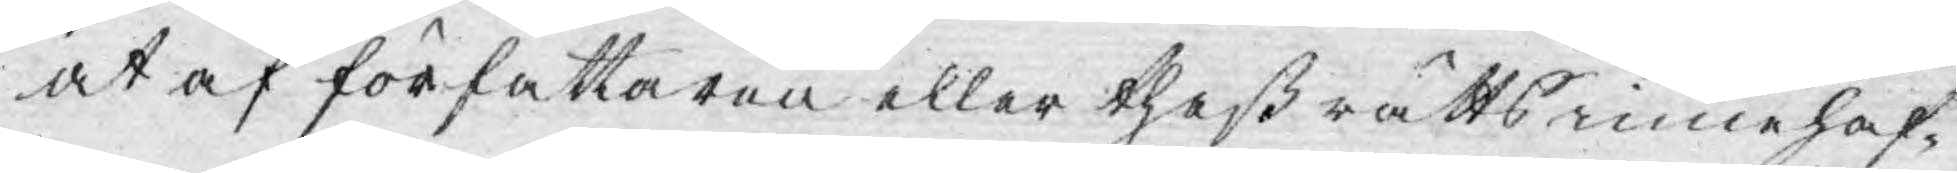at af författaren eller theß rätts innehaf¬
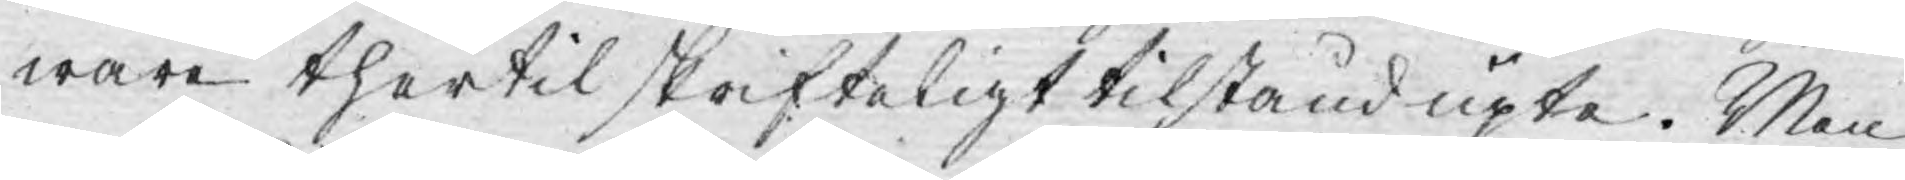ware thertil skrifteligt tilstånd upta. Men
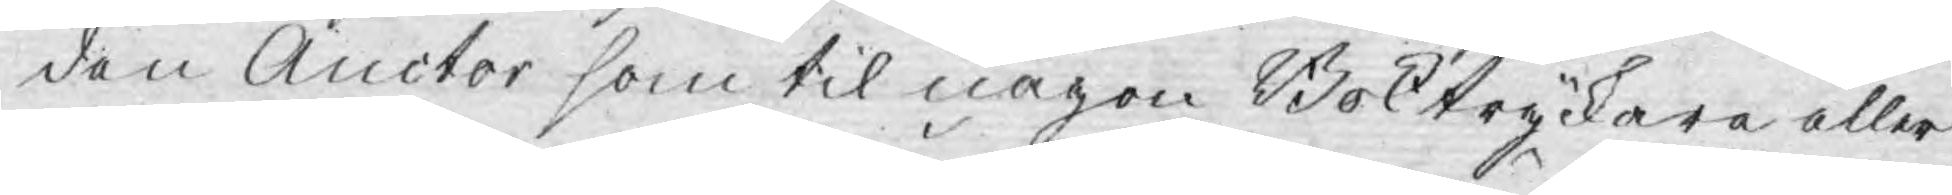den Auctor som til någon Boktryckare eller
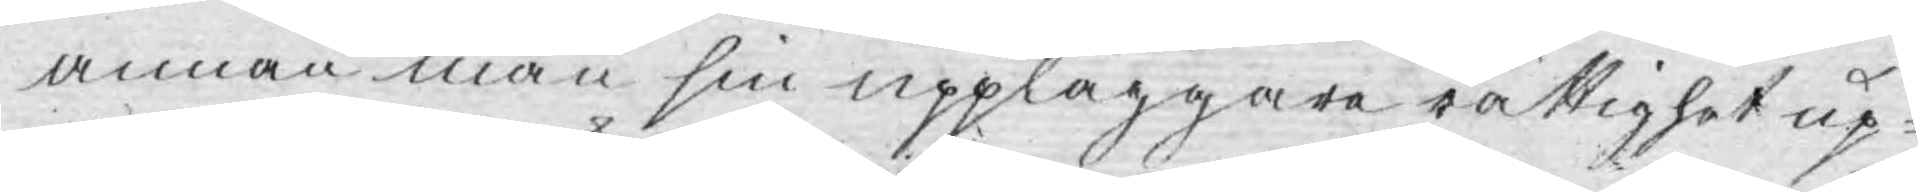annan man sin uppläggare rättighet up-
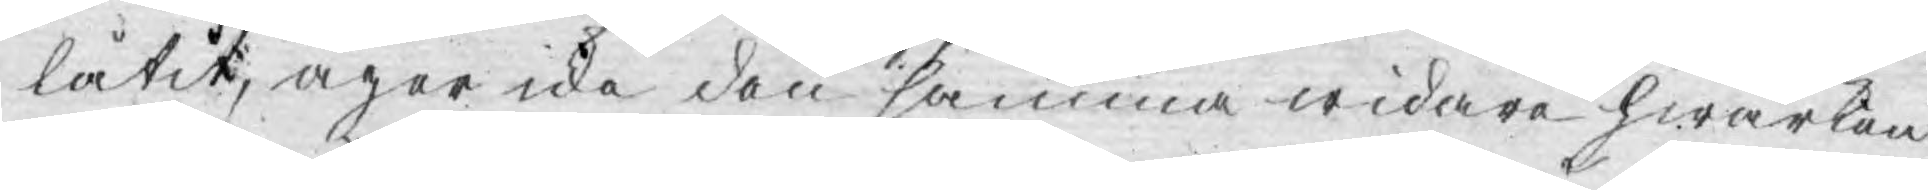låtit, äger icke den samma widare hwarken
